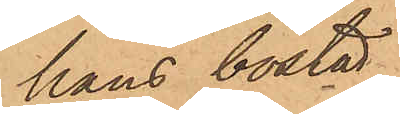hans bostad
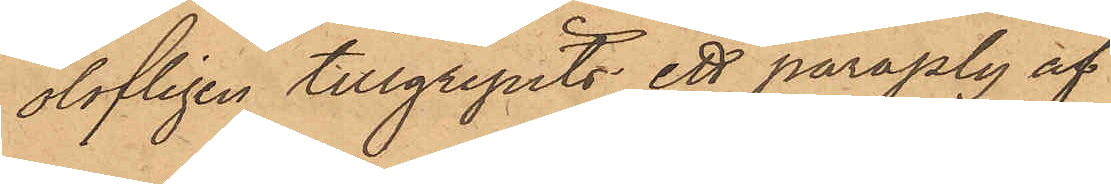olofligen tillgripits ett paraply af
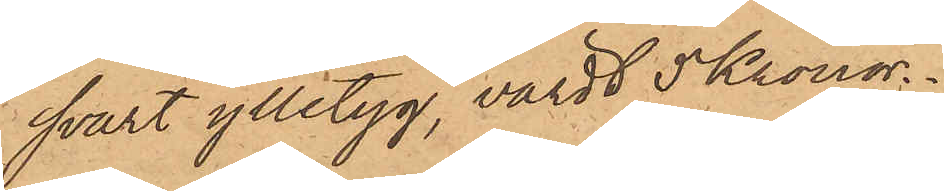svart ylletyg, värdt 5 Kronor.
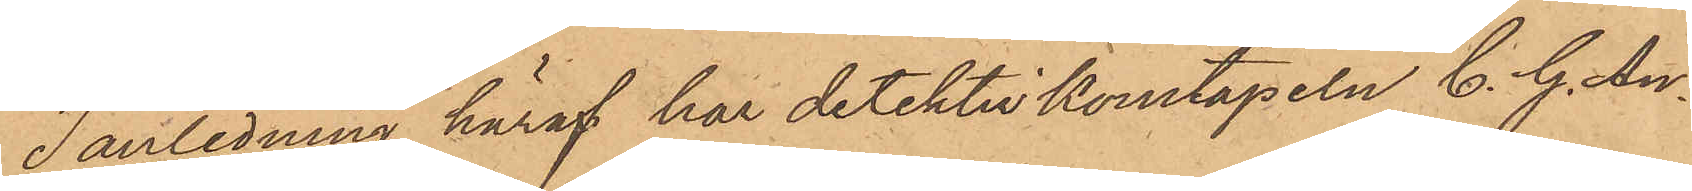I anledning häraf har detektivkonstapeln C. G. An¬
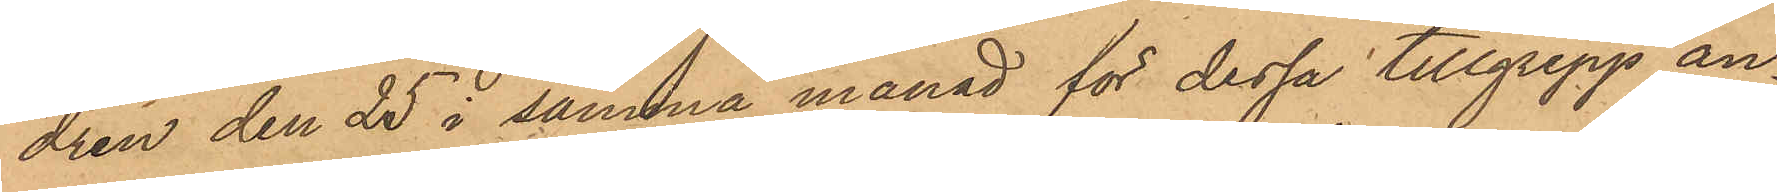drén den 25 i samma månad för dessa tillgrepp an¬
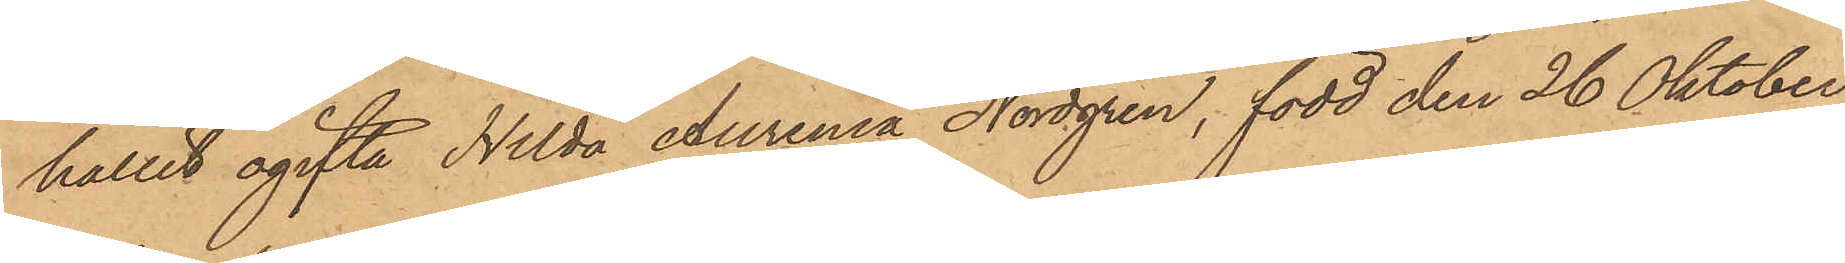hållit ogifta Hilda Aurenia Nordgren, född den 26 Oktober
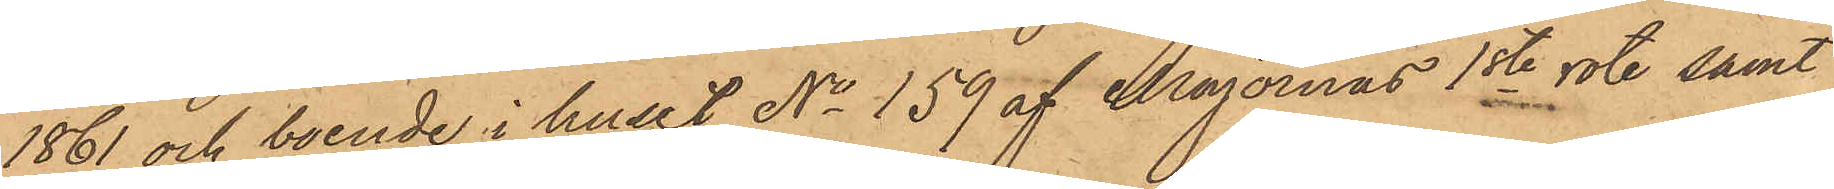1861 och boende i huset No 159 af Majornas 1ste rote samt
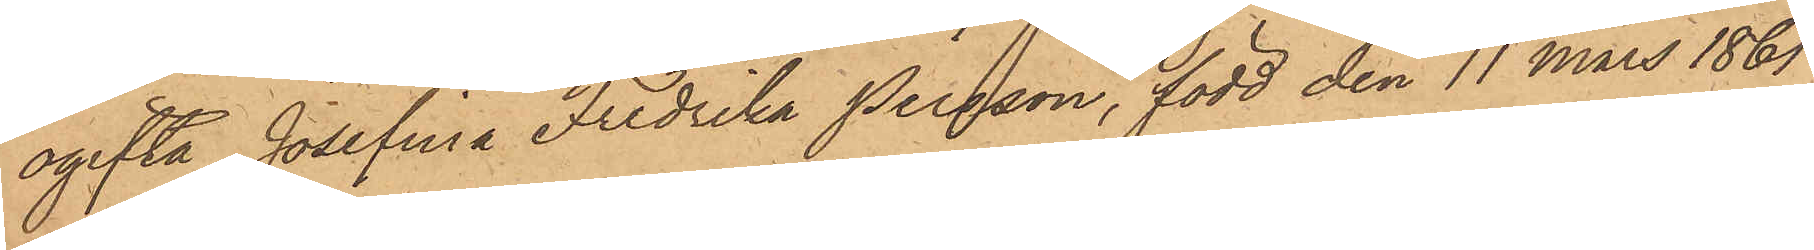ogifta Josefina Fredrika Persson, född den 11 Mars 1861
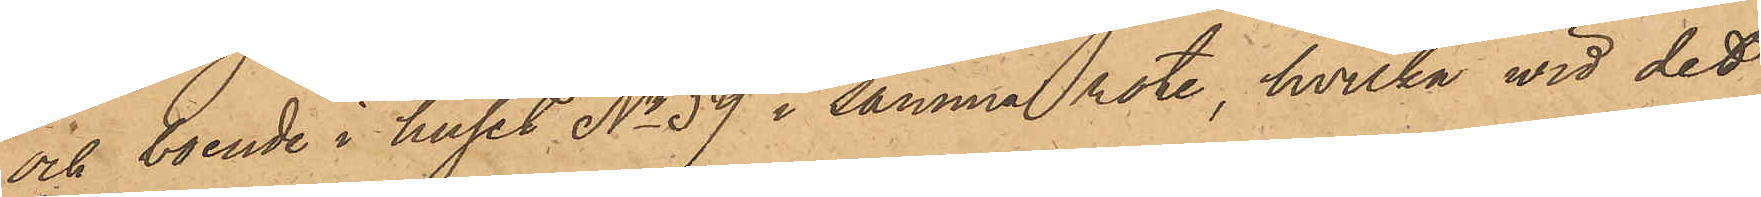och boende i huset No 59 i samma rote, hvilka vid det
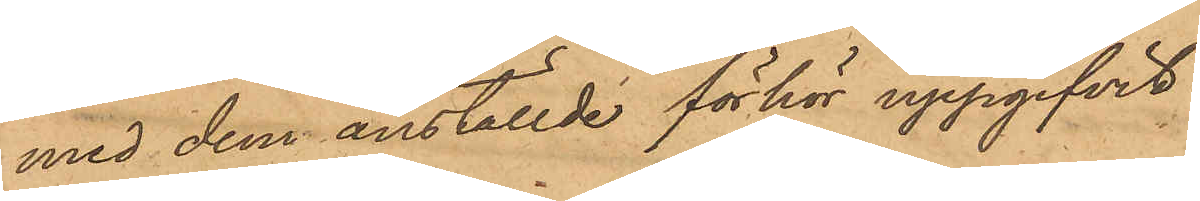med dem anställde förhör uppgifvit:
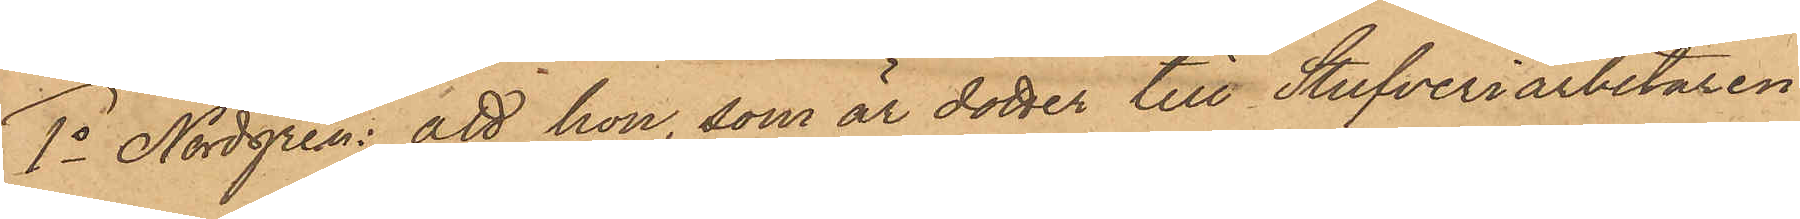1o Nordgren: att hon, som är dotter till Stufveriarbetaren
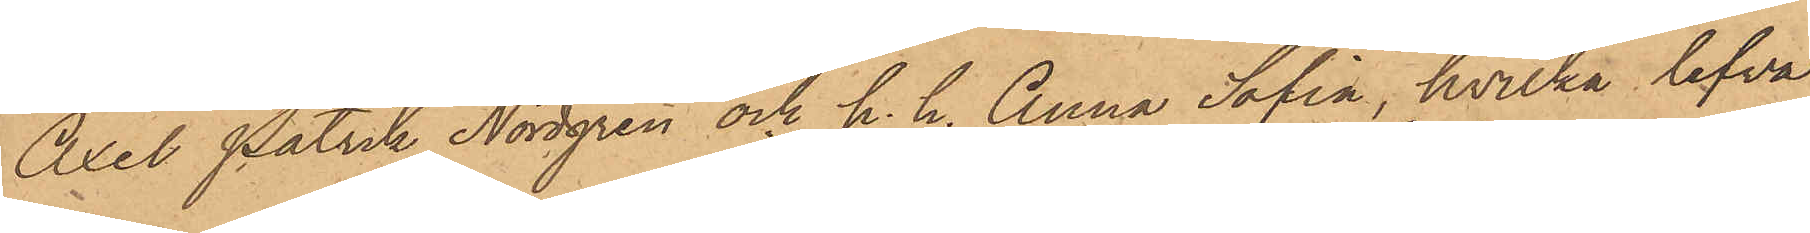Axel Patrik Nordgren och h. h. Anna Sofia, hvilka lefva
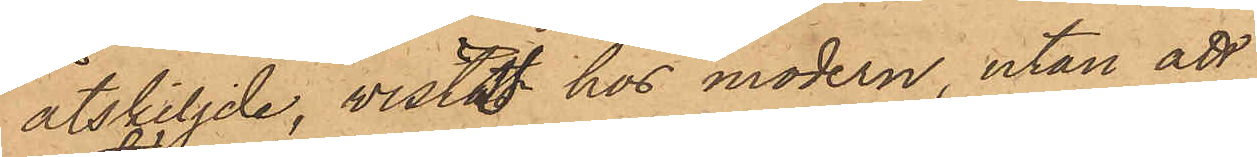åtskiljde, vistat hos modern utan att
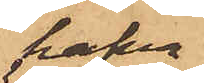hafva
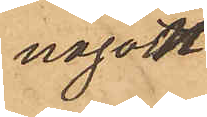något
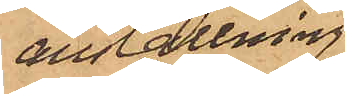anställning,
